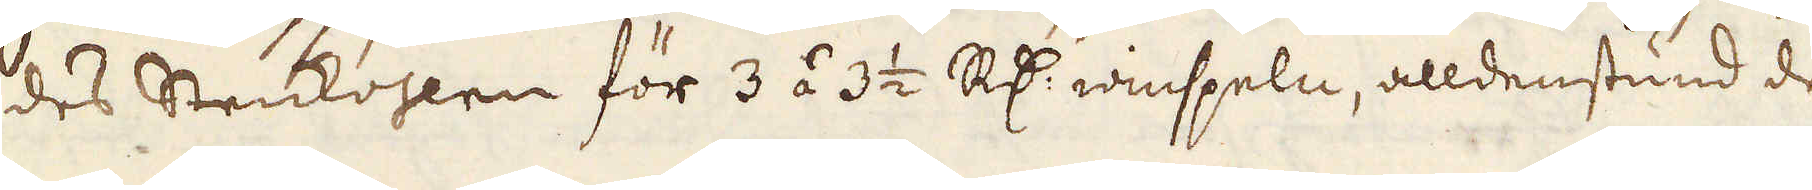des Stenkohlen för 3 á 3 1/2 R:dr winspeln, alldenstund de
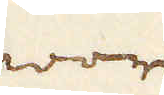wore
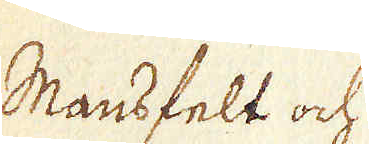Mansfelt och
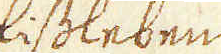Eisleben
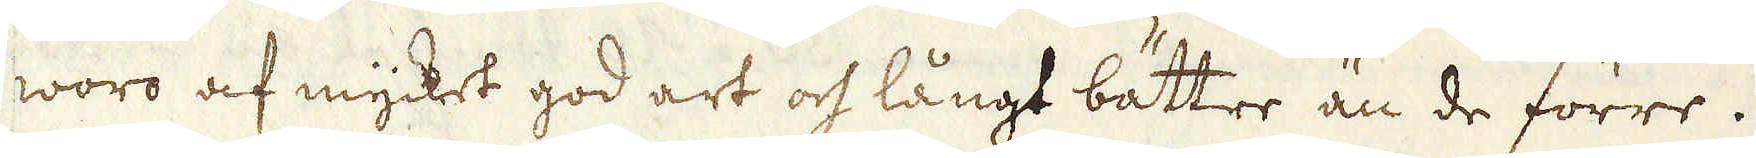woro af mycket god art och långt bättre än de förre.
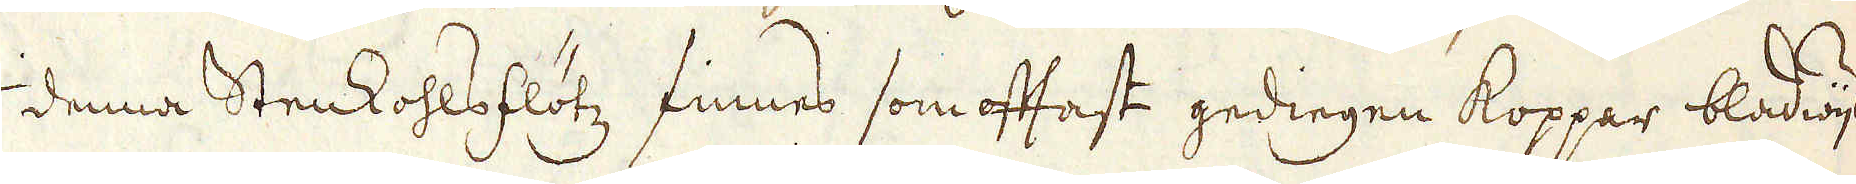I denna Stenkohlsflötz finnes som oftast gedingen koppar bladwijs,
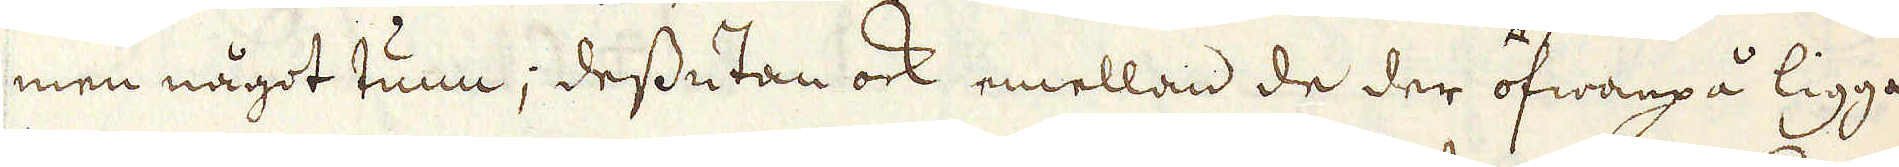men något tunn; dessutan ock emellan de der ofwanpå liggan-
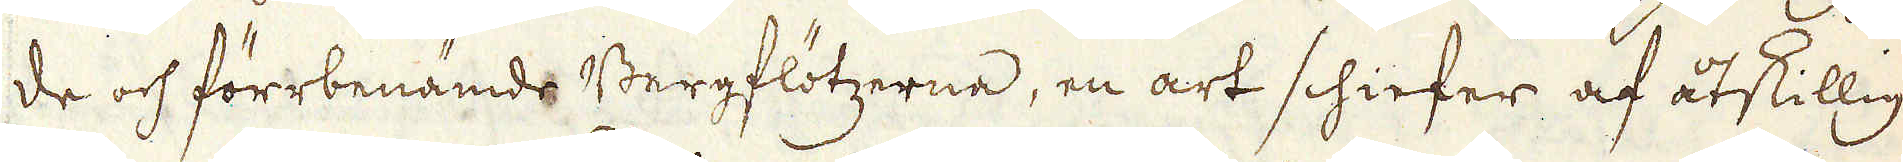de och förrbenämde Bergflötzerne, en art schiefer af åtskillig
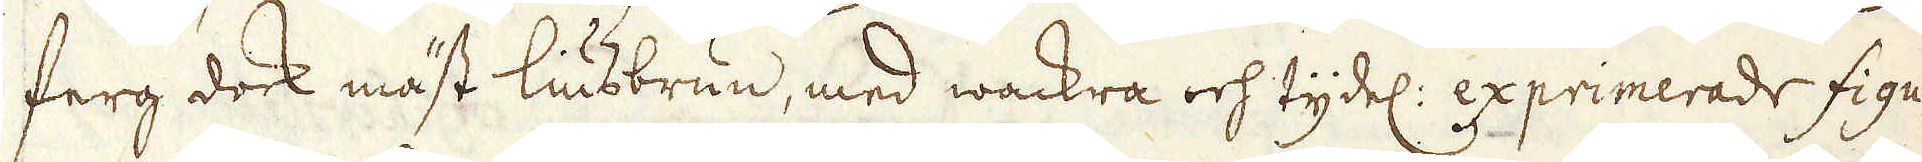ferg dock mäst liusbrun, med wackra och tydel: exprimerade figu-
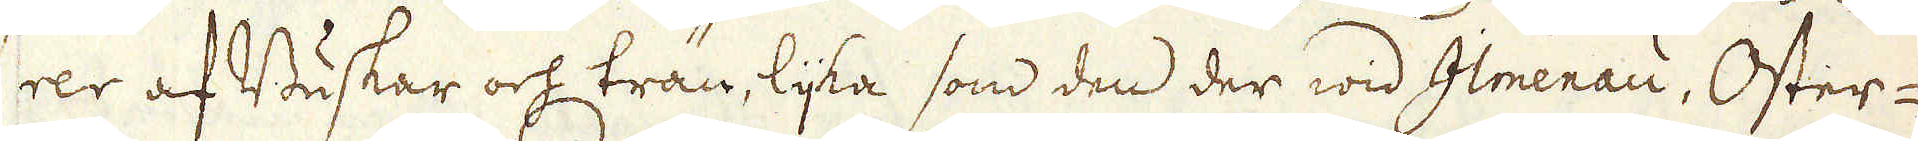rer af Buskar och trän, lijka som den der wid Ilmenau, Oster-
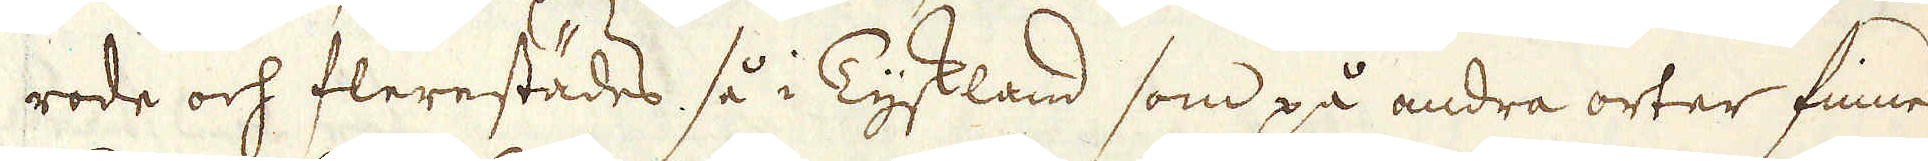rode och flerestädes, så i Tyskland som på andra orter finnes.
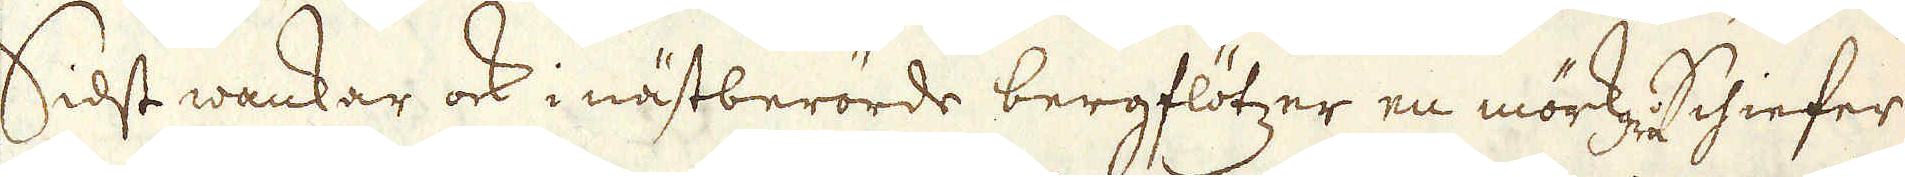Sidst wankar ock i nästberörde bergflötzer en mörkgrå Schiefer
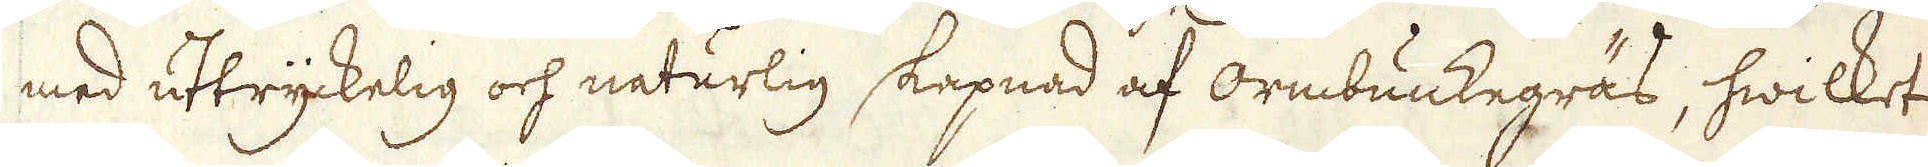med uttryckelig och naturlig skapnad af ormbunkegräs, hwilket
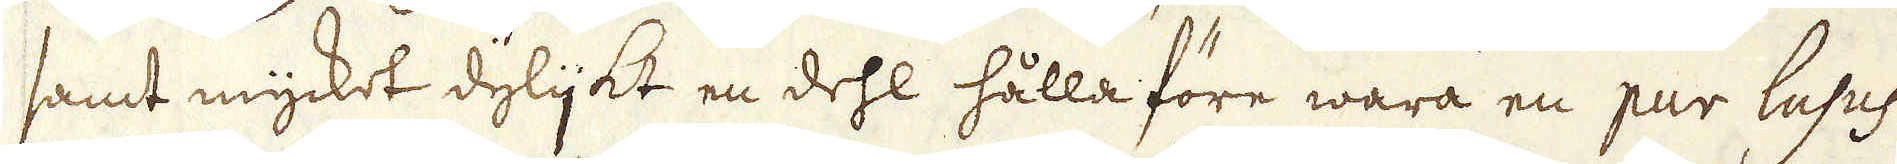samt mycket dylijkt en dehl hålla före wara en pur lusus
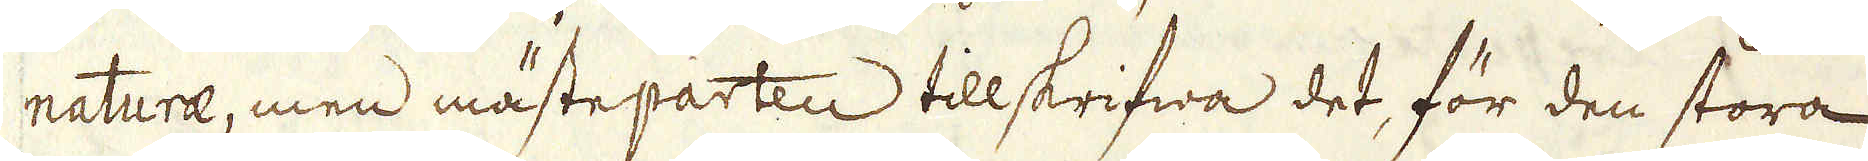naturae, men mästeparten tillskrifwa det, för den stora
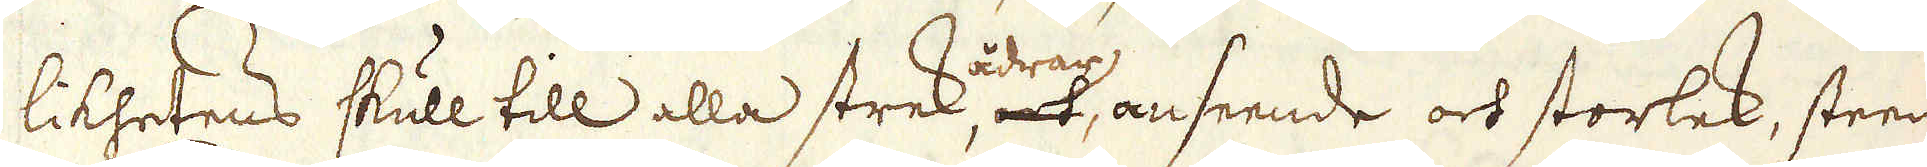likhetens skull till alla strek ådrar, och anseende ock storlek, steen-
